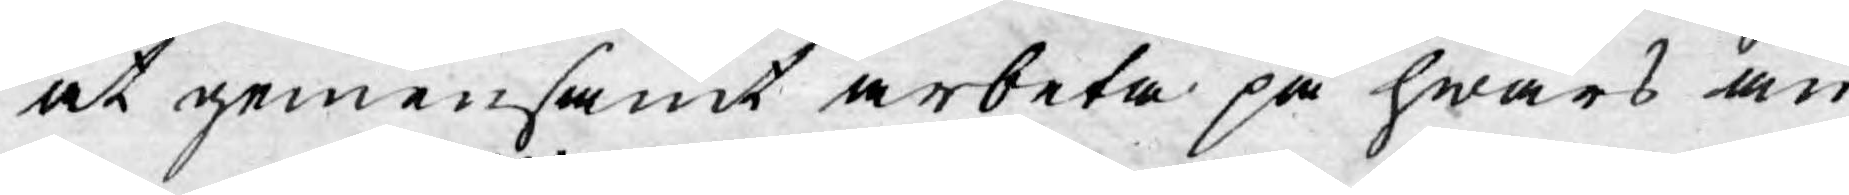at gemensamt arbeta på hwars an¬
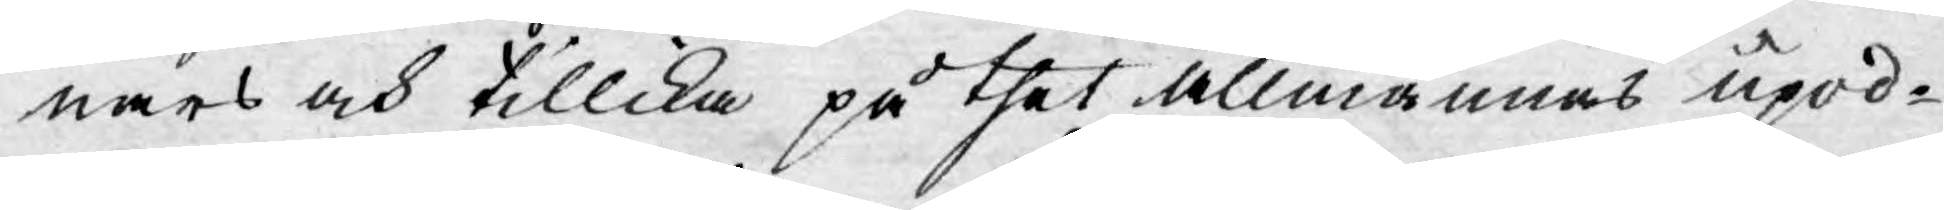nars och tillika på thet allmännas upod¬
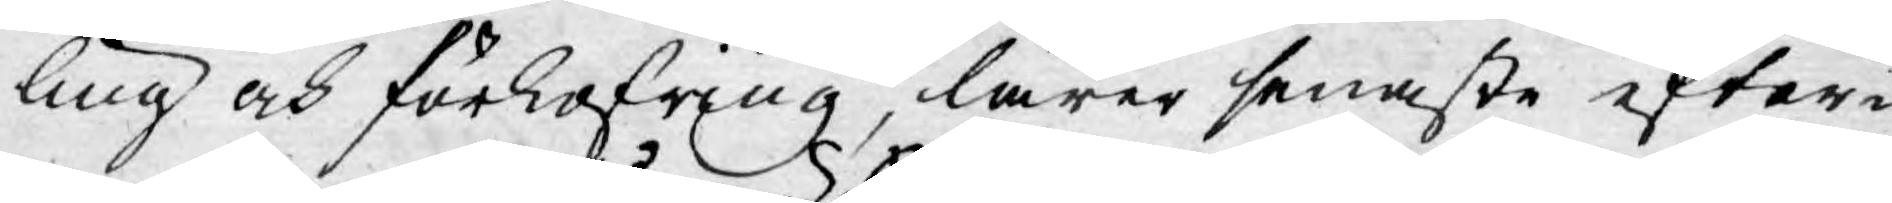ling och förkofring, lärer senaste efter¬
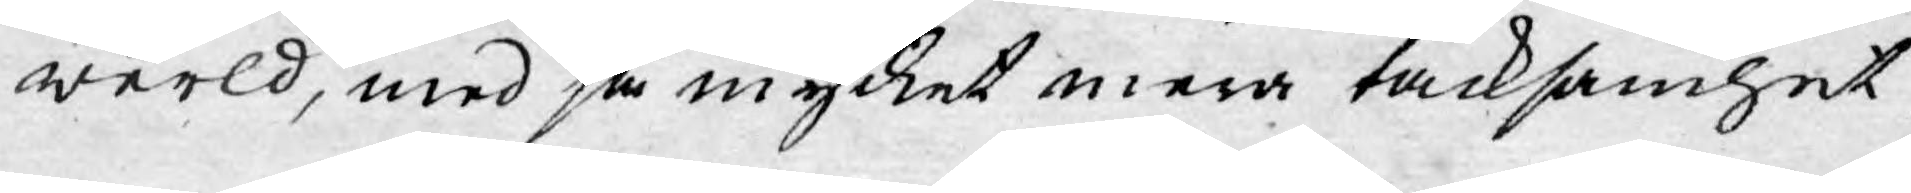werld, med så mycket mera tacksamhet
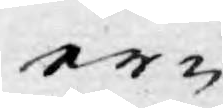er¬
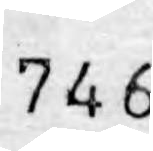746
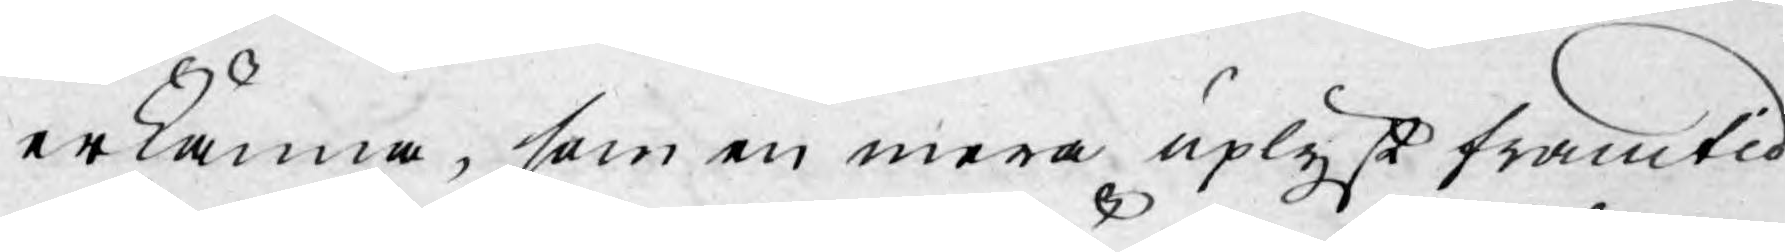erkänna, som en mera uplyst framtid
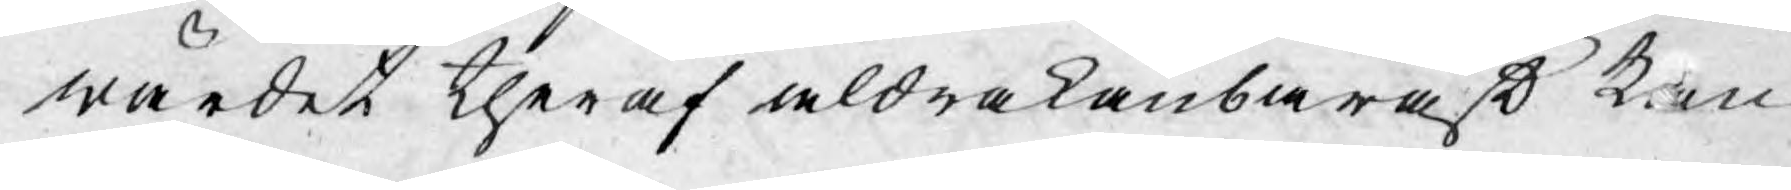wärdet theraf aldrakänbarast kan
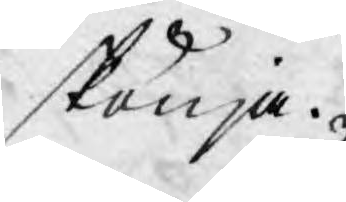skönja.
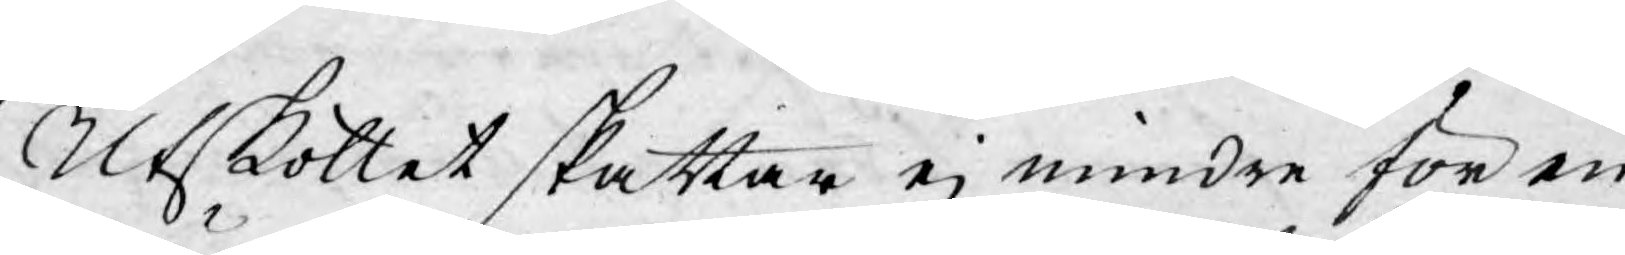Utskottet skattar ej mindre för en
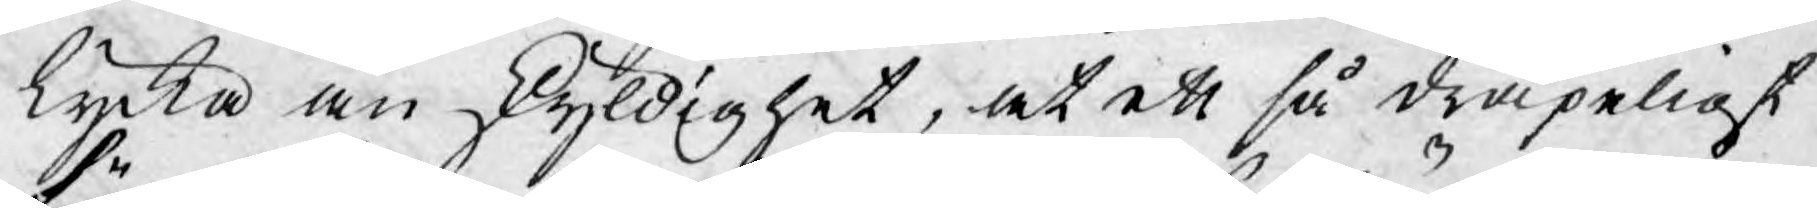lycka än skyldighet, at ett så dråpeligt
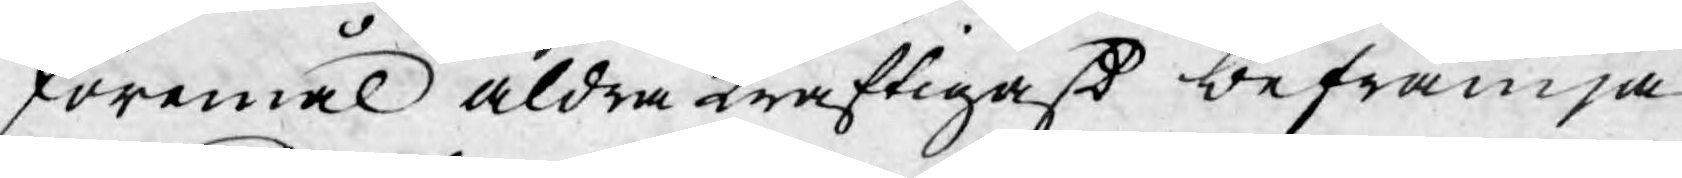föremål aldra kraftigast befrämja
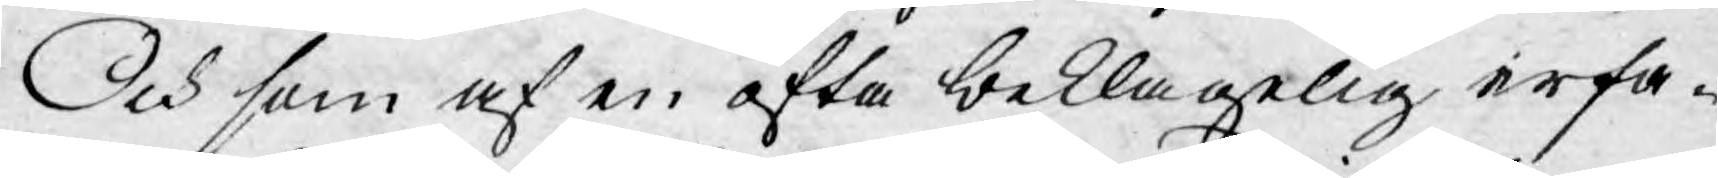Och som af en ofta beklagelig erfa¬
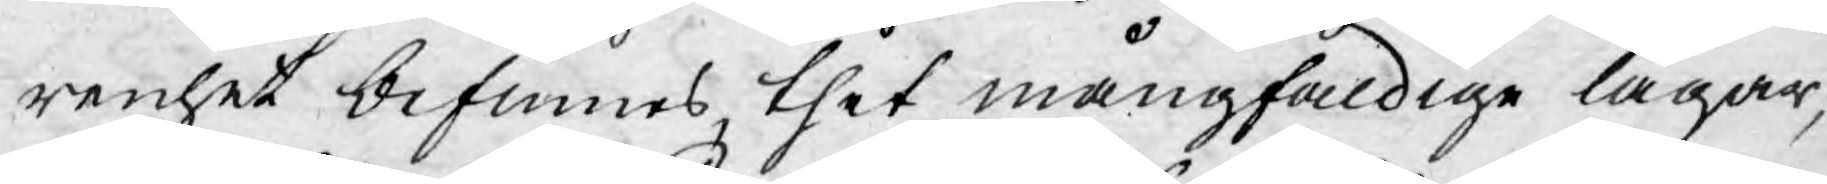renhet befinnes thet mångfaldige lagar,
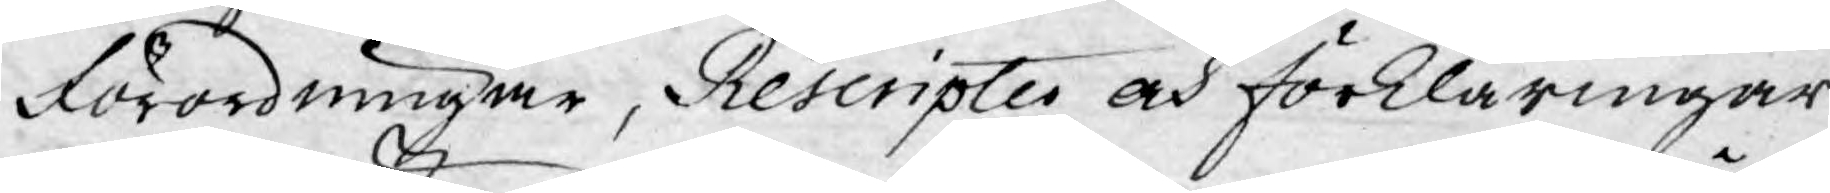Förordningar, Rescripter och förklaringar
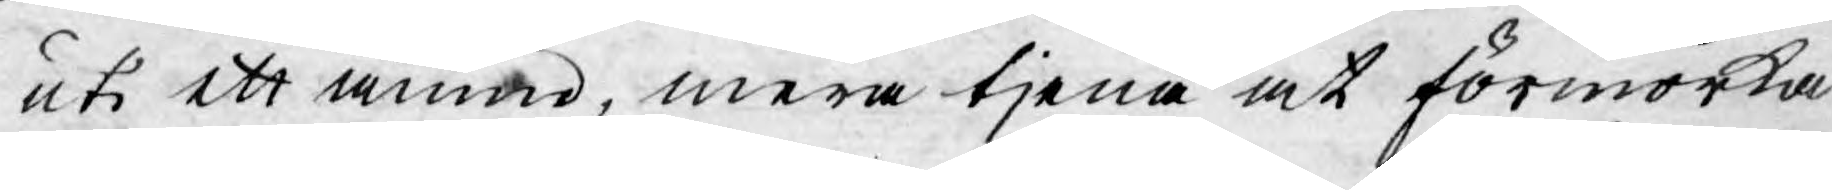uti ett ämne, mera tjena at förmörka
